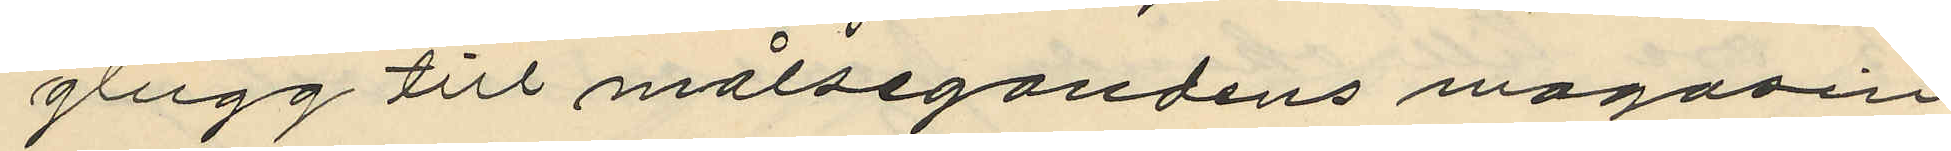glugg till målsegandens magasin
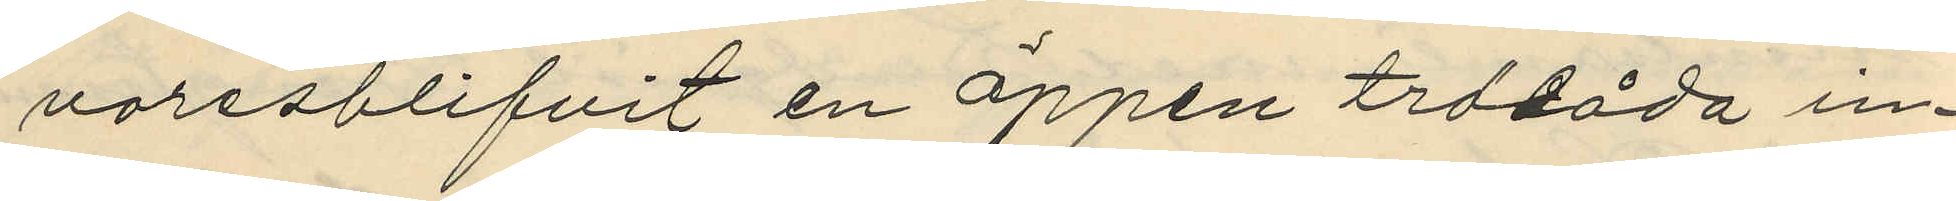varesblifvit en öppen trälåda in¬
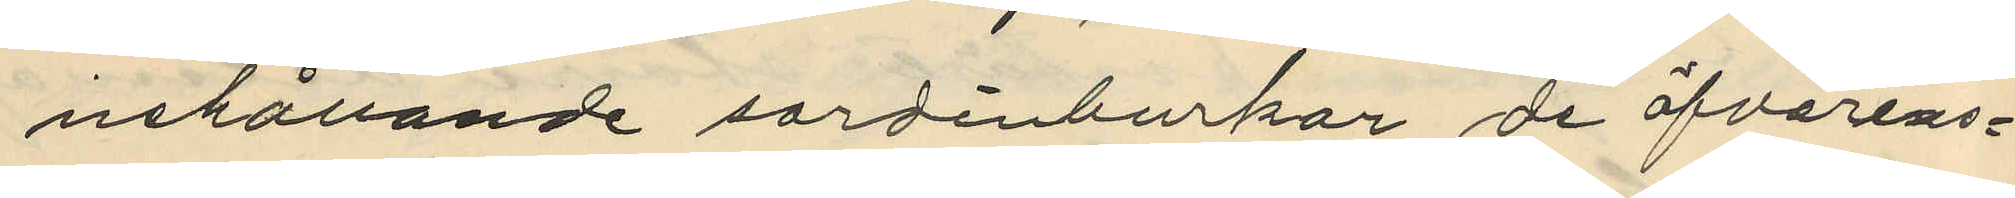nehållande sardinburkar de öfverens¬
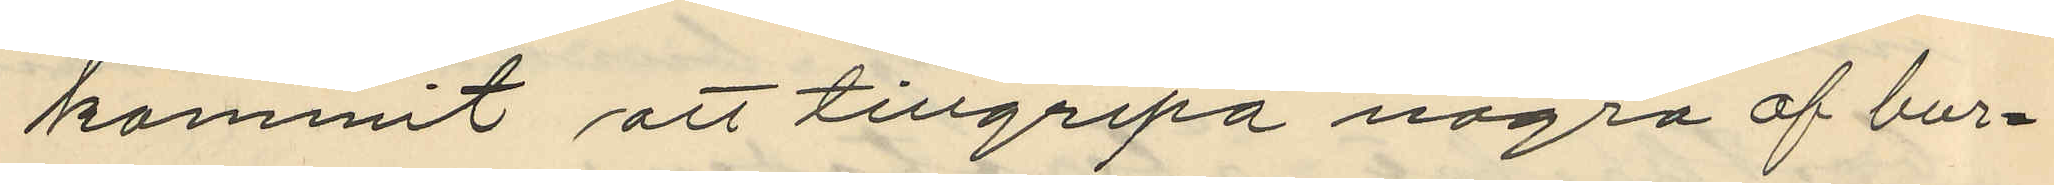kommit att tillgripa några af bur¬
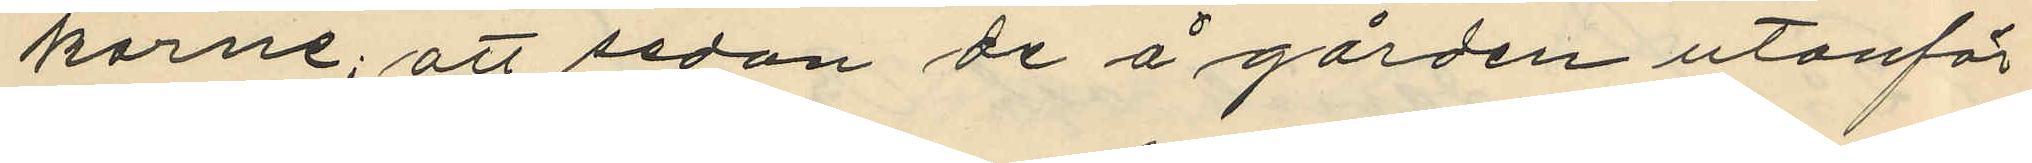karne; att sedan de å gården utanför
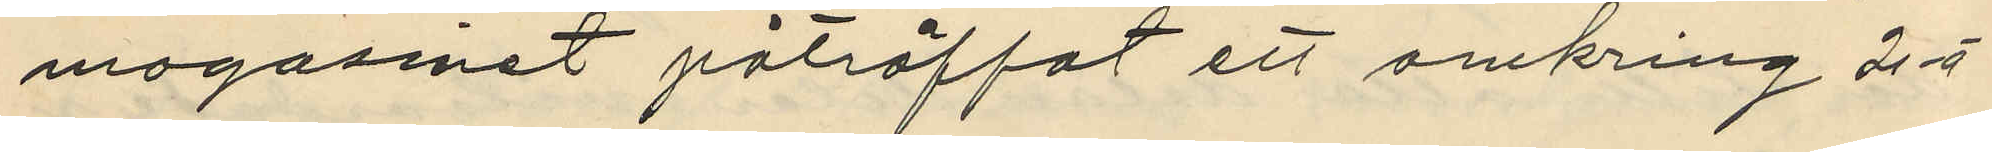magasinet påträffat ett omkring 2 á
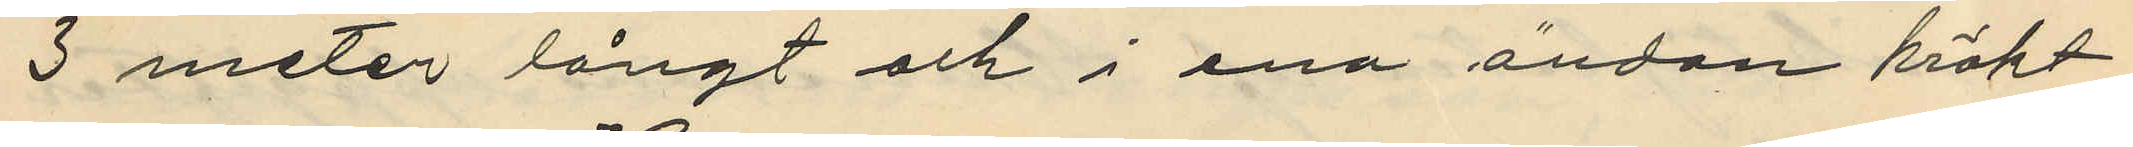3 meter långt och i ena ändan krökt
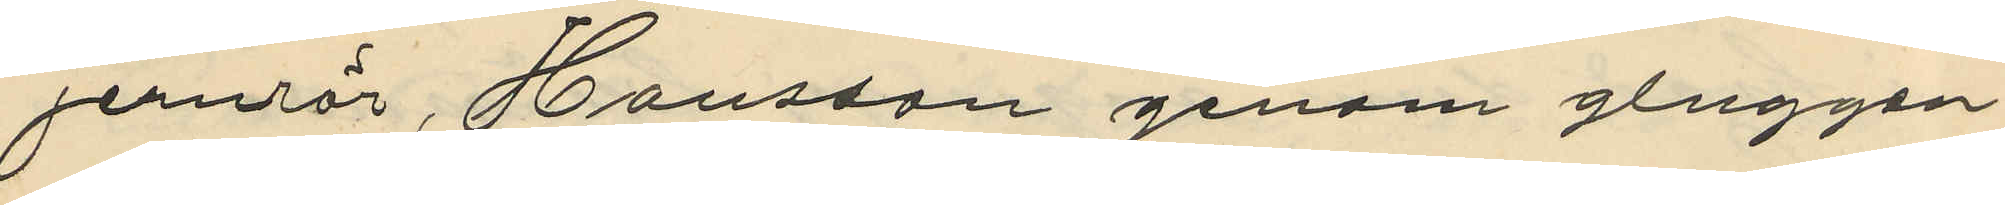jernör, Hansson genom gluggen
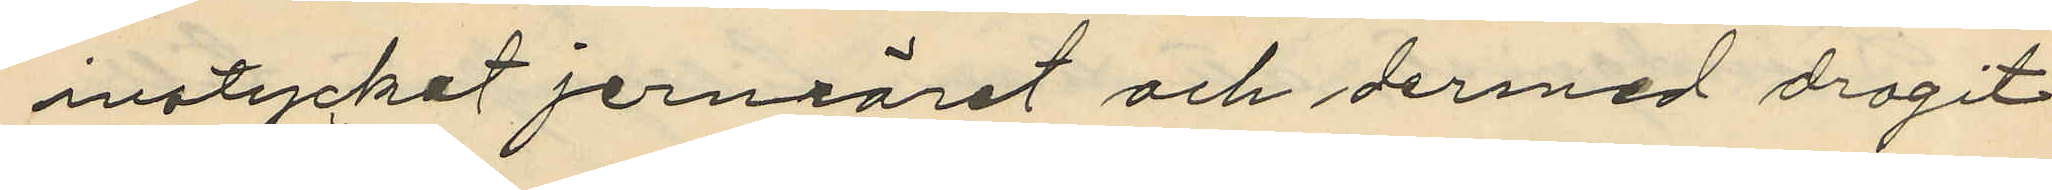instycket jernröret och dermed dragit
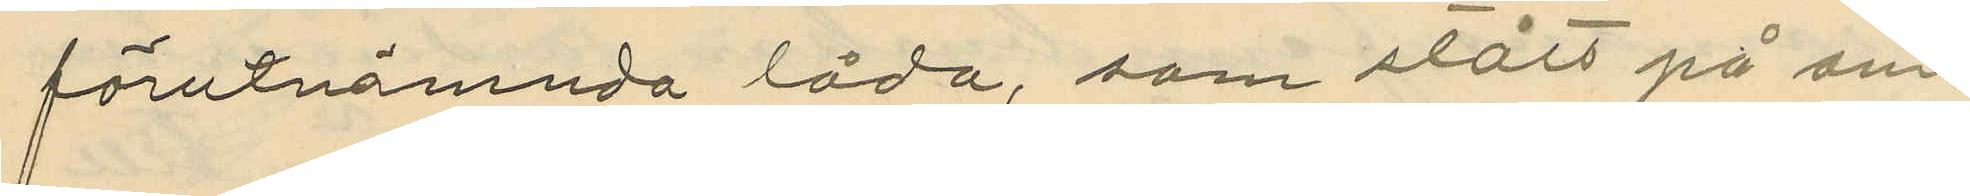förutnämnda låda, som stått på om¬
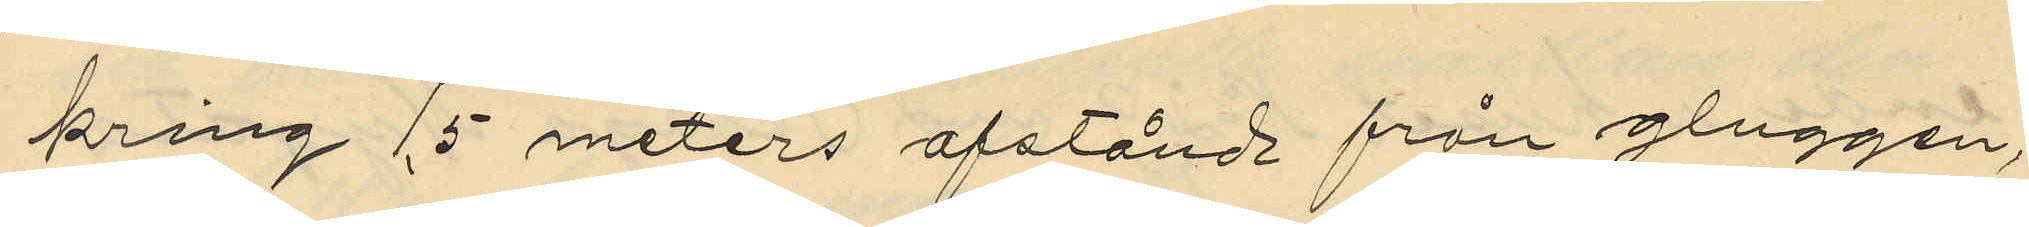kring 15 meters afstånd från gluggen,
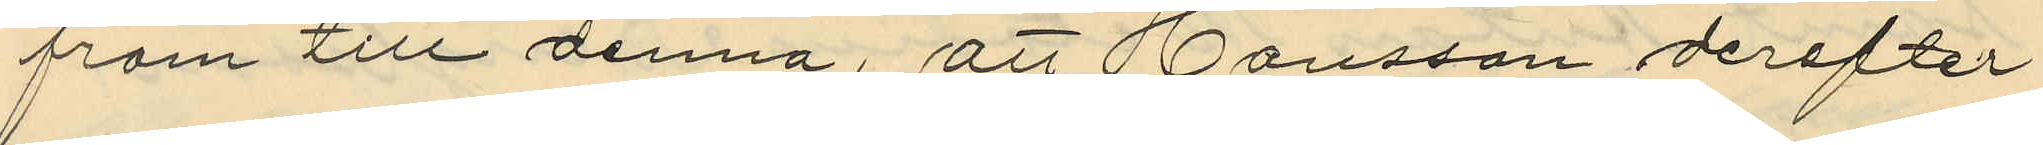fram till denna, att Hansson derefter
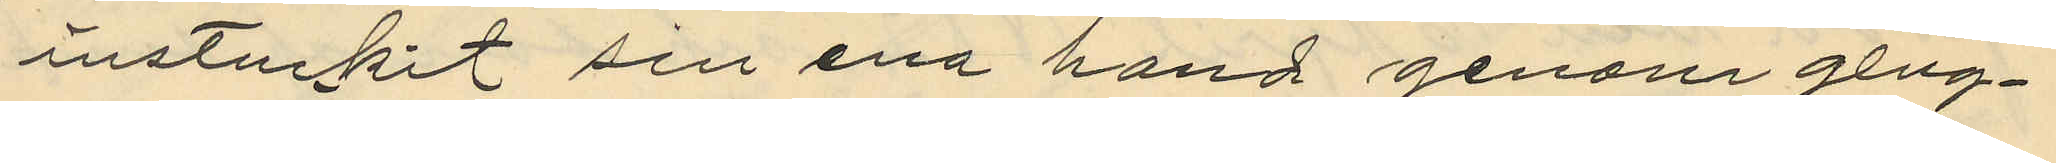instuckit sin ena hand genom glug¬
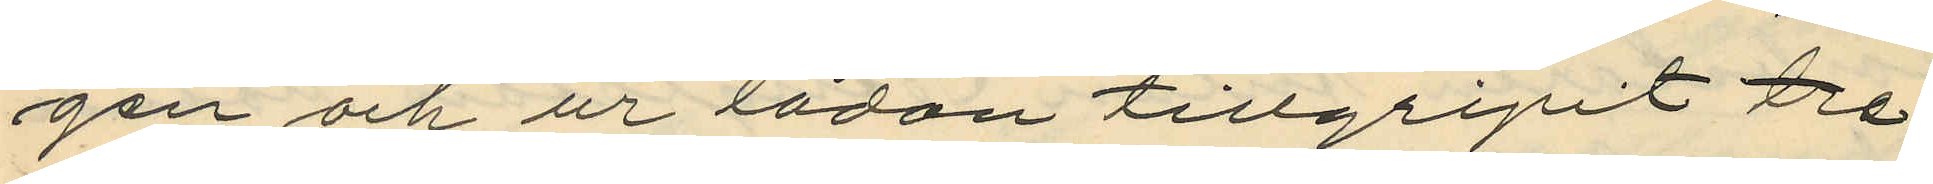gen och ur lådan tillgripit tre
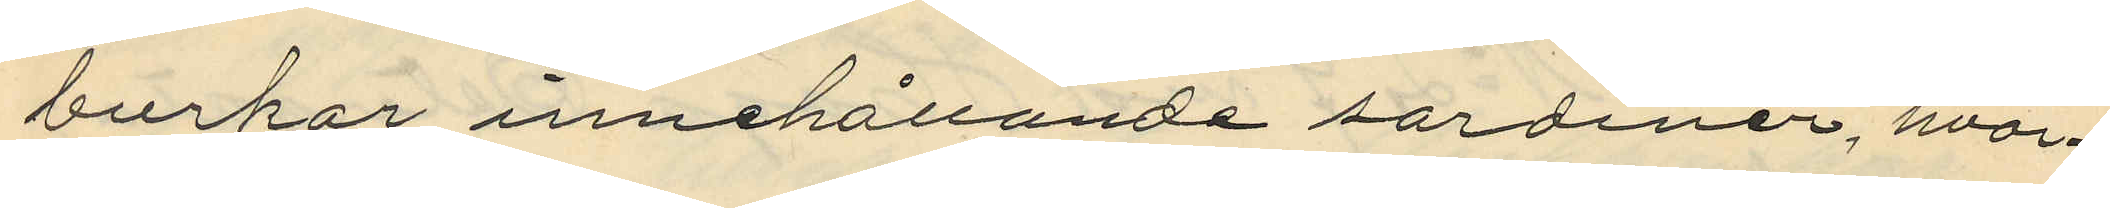burkar innehållande sardiner, hvar¬
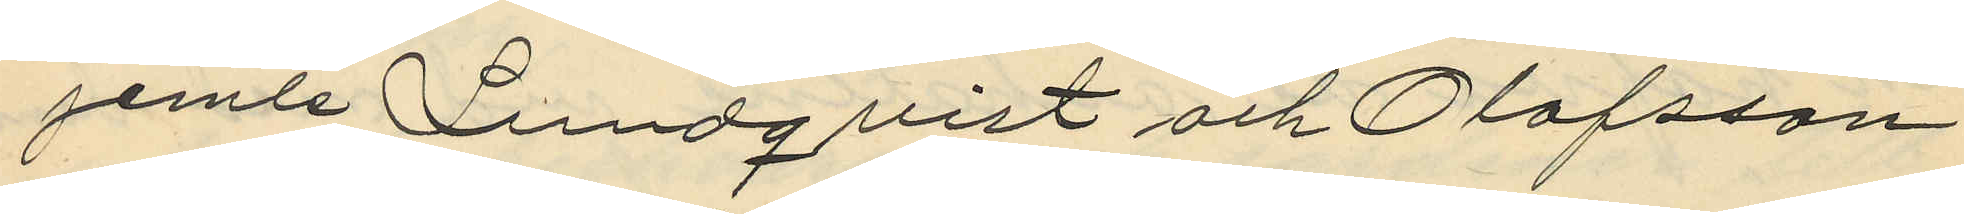jemte Lundquist och Olofsson
